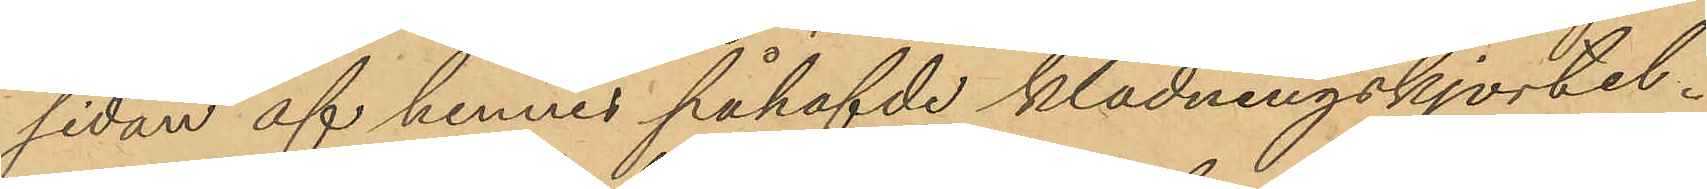sidan af hennes påhafvde klädningskjortel.
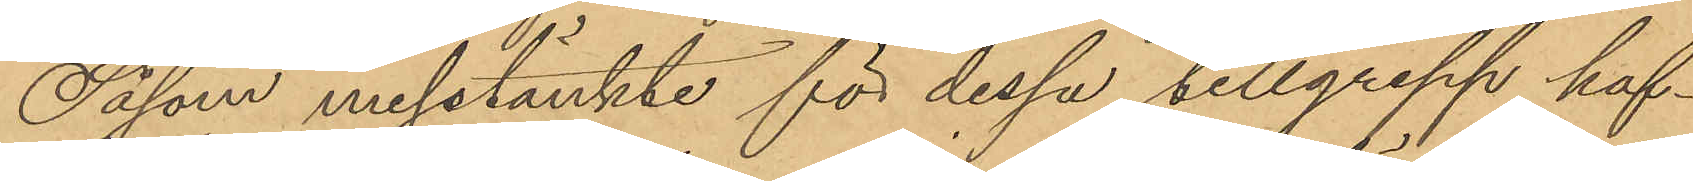Såsom misstänkte för dessa tillgrepp haf¬
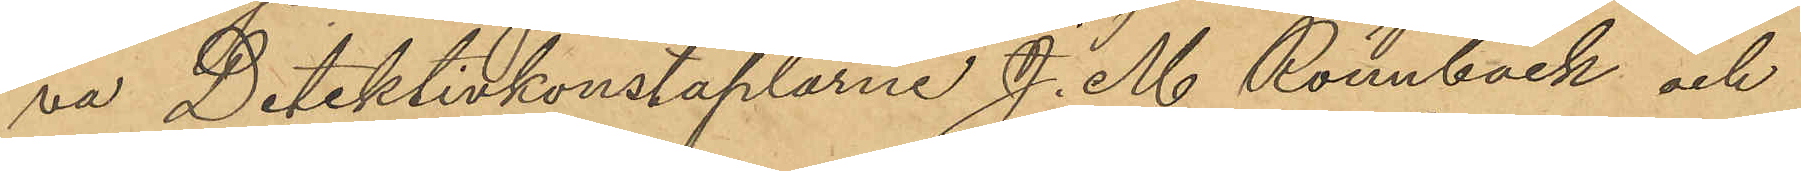va Detektivkonstaplarne J. M. Rönnbäck och
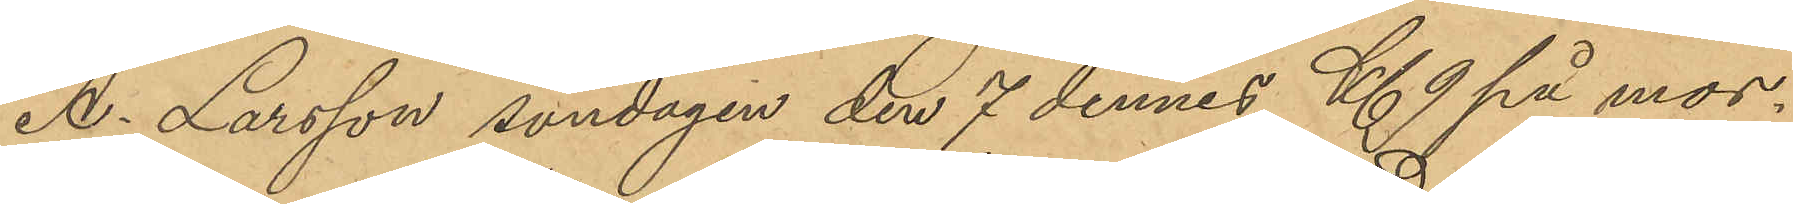A. Larsson söndagen den 7 dennes Kl. 9 på mor¬
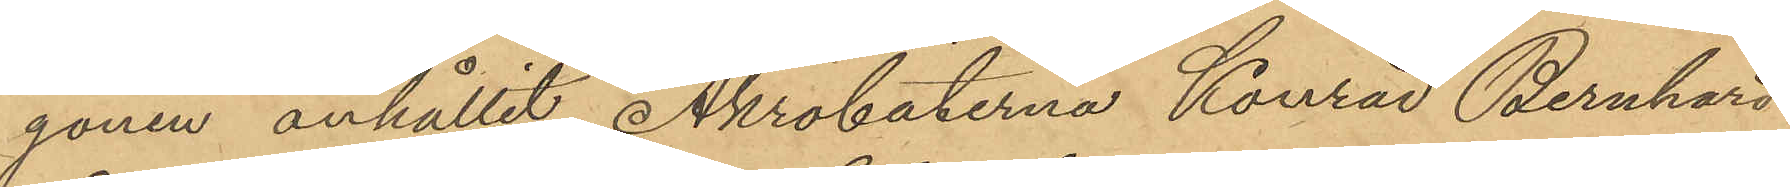gonen anhållit Akrobaterna Konrad Bernhard
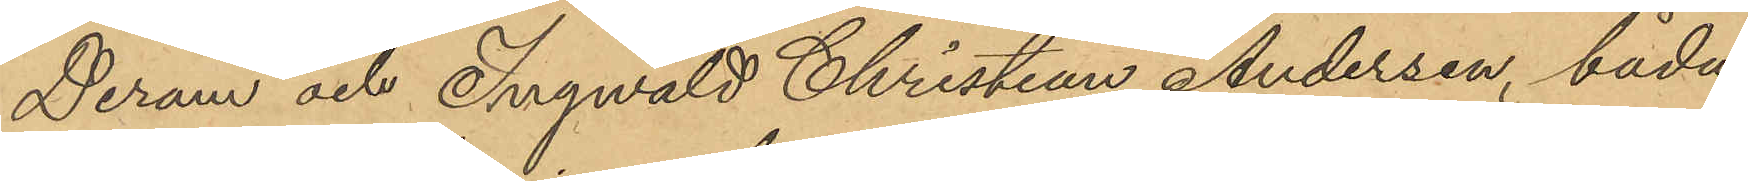Deram och Ingwald Christian Andersen, båda
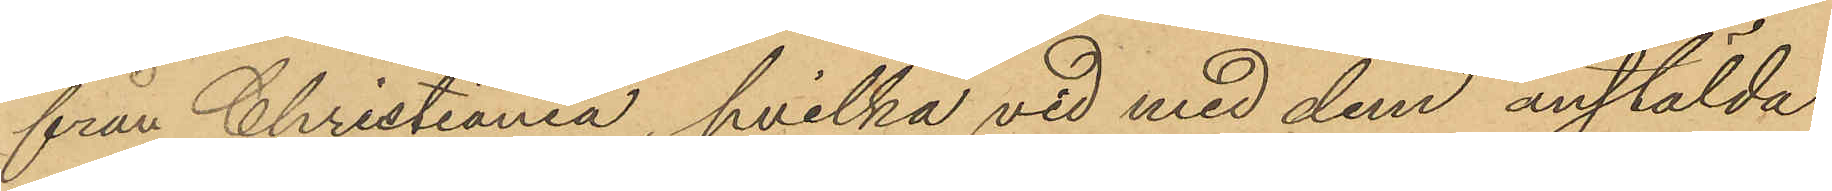från Christiania, hvilka vid med dem anstälda
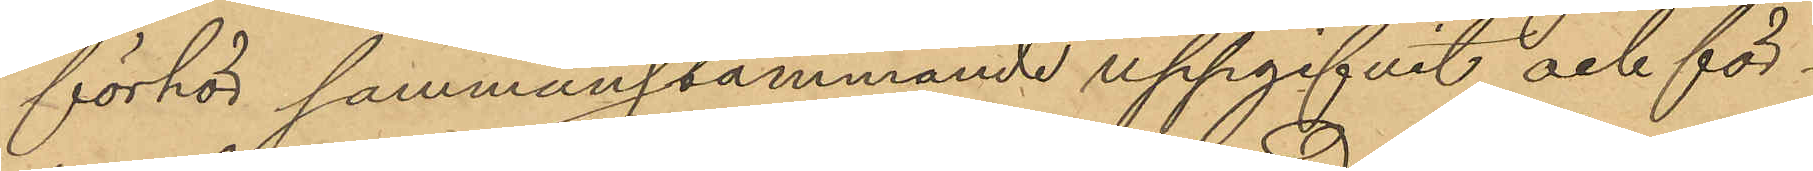förhör sammanstämmande uppgifvit och för¬
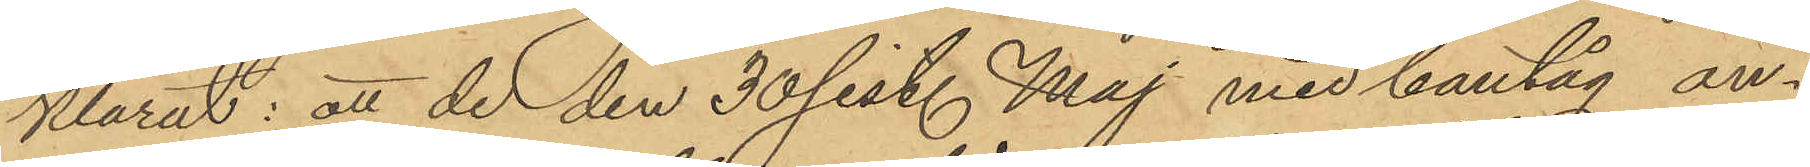klarat: att de den 30 sist. Maj med bantåg an¬
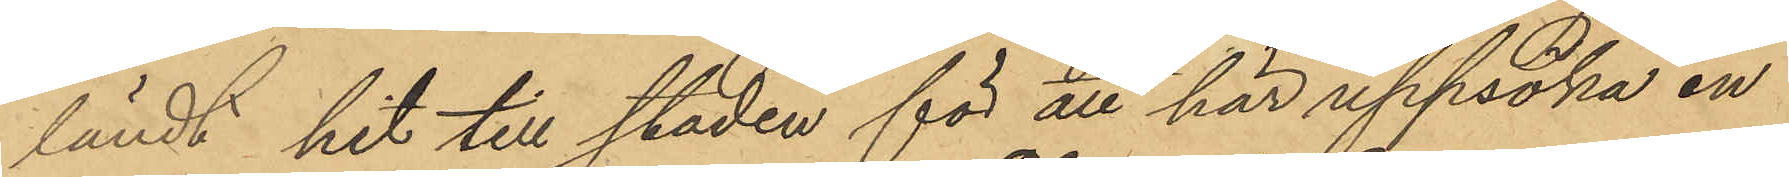ländt hit till staden för att här uppsöka en
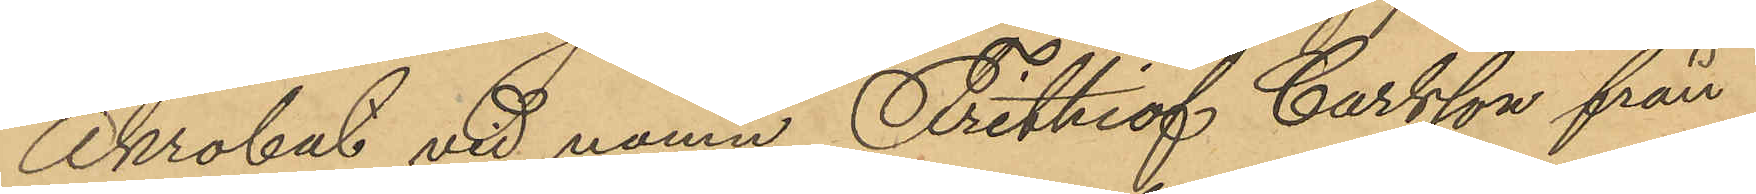Akrobat vid namn Frithiof Carlsson från
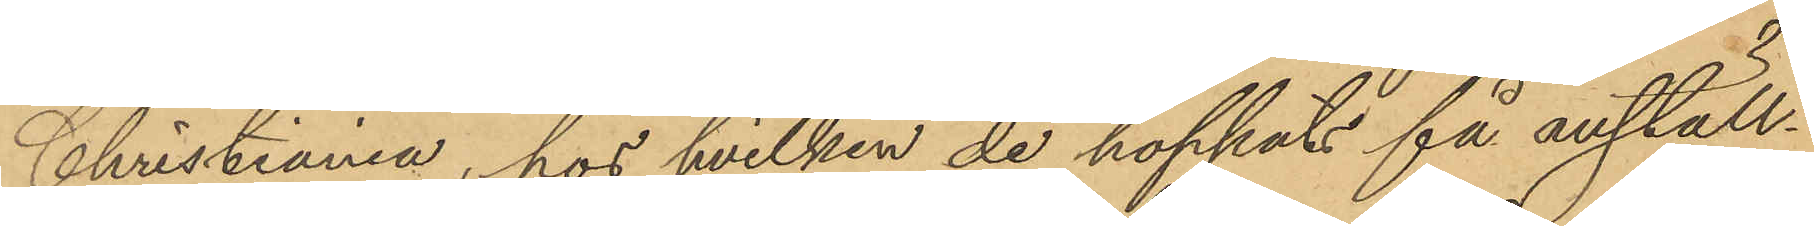Christiania, hos hvilken de hoppat få anställ¬
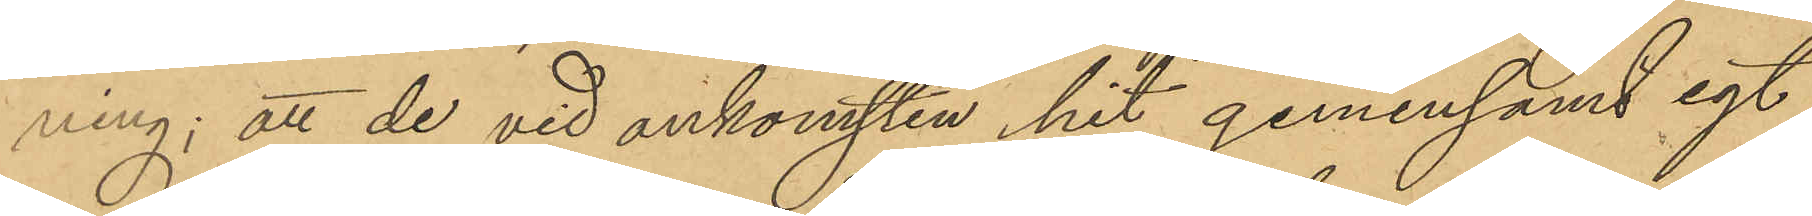ning; att de vid ankomsten hit gemensamt egt
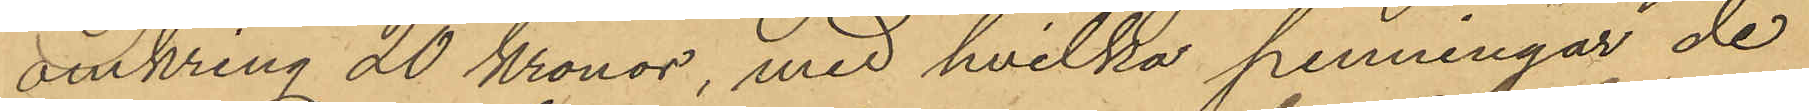omkring 20 Kronor, med hvilka penningar de
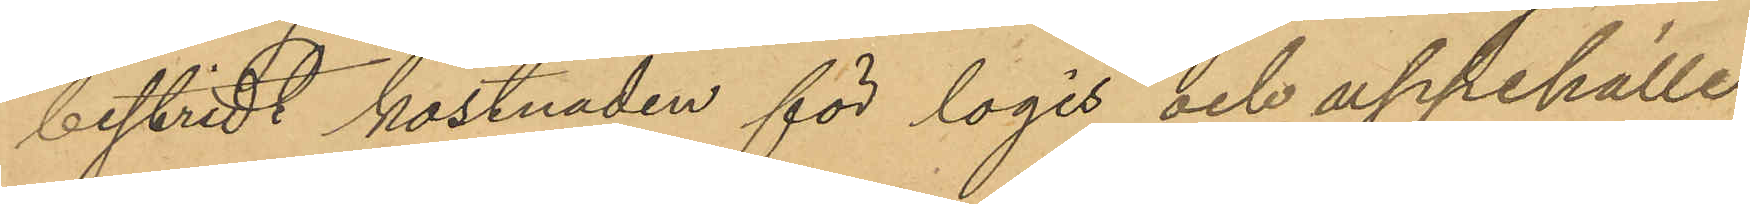bestridt kostnaden för logis och uppehälle
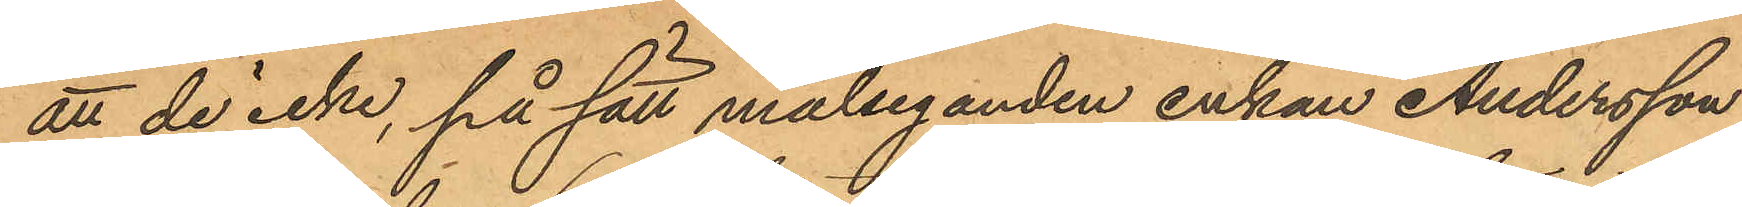att de icke, på sätt målseganden enkan Andersson
